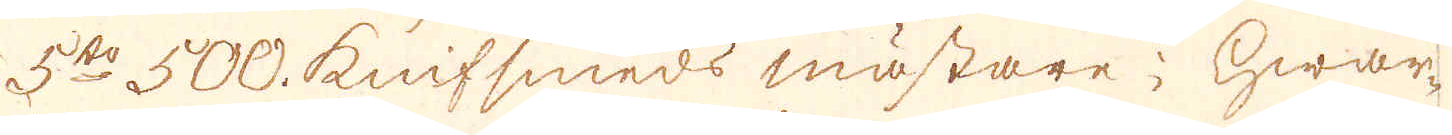5to 500. knifsmeds mästare; hwar-
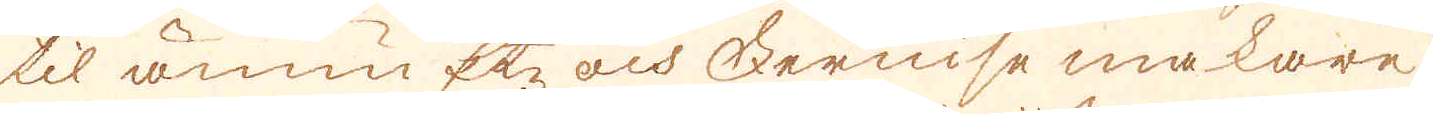til ännu Etz och Fernisse makare
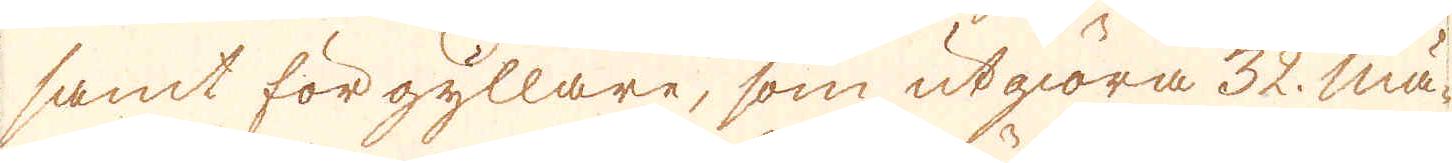samt förgyllare, som utgiöra 32. Mä-
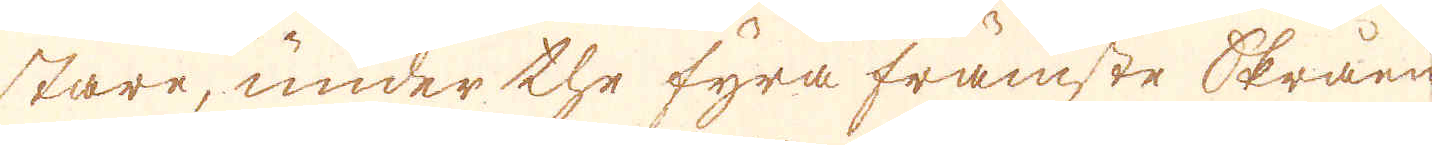stare, under the fyra främste skråen
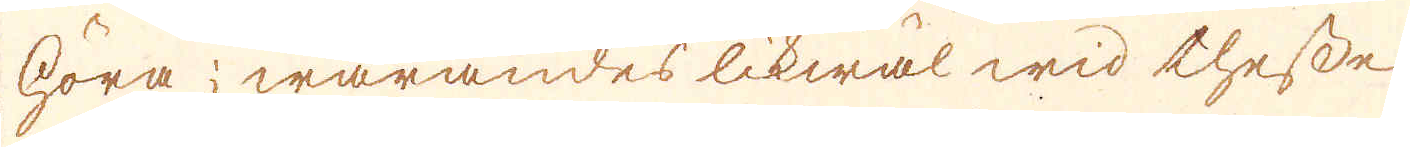höra; warandes likwäl wid thesse
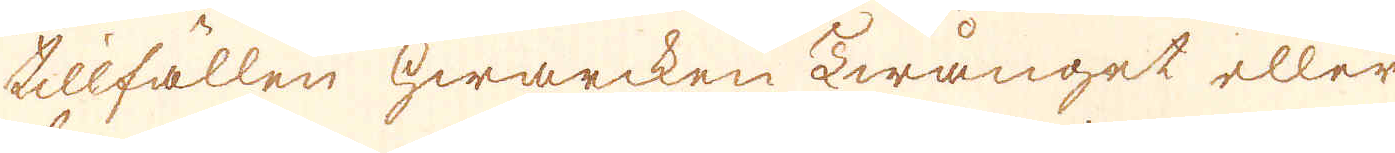tillfällen hwarcken twånget eller
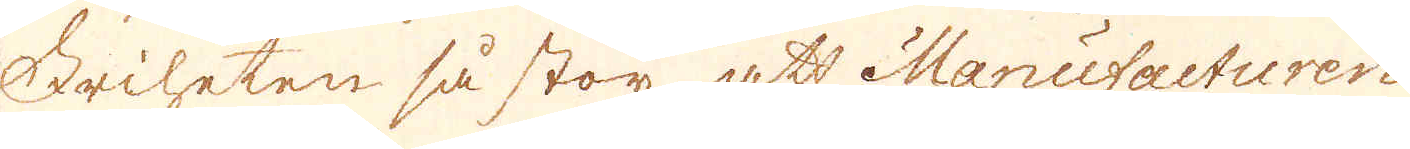friheten så stor, att Manufacturen
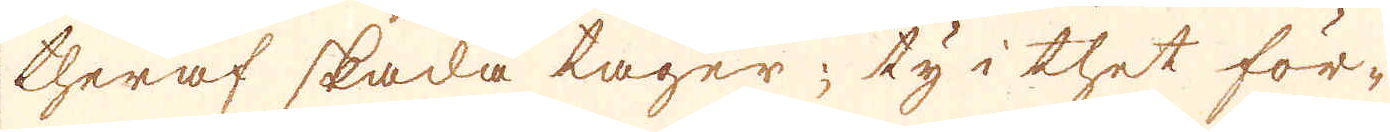theraf skada tager; ty i thet för-
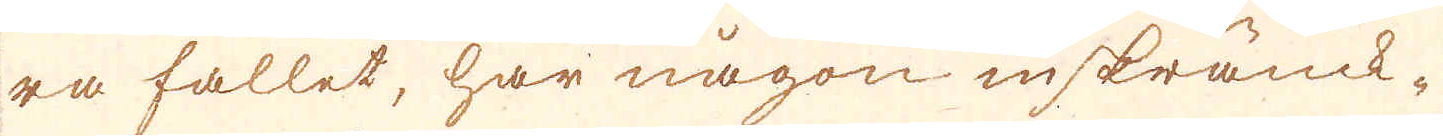ra fallet, har någon inskränck-
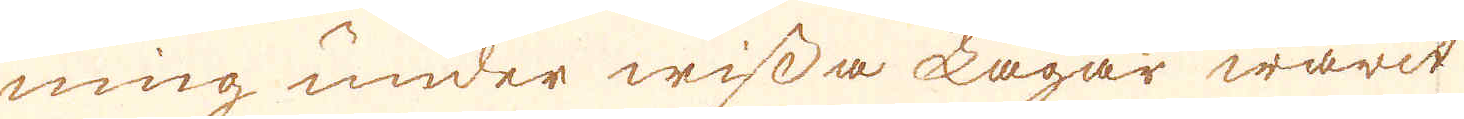ning under wissa lagar warit
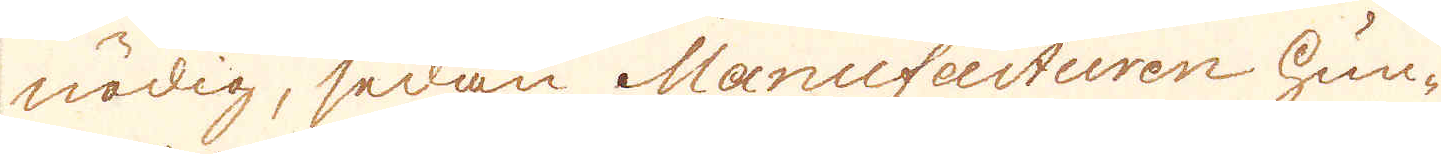nödig, sedan Manufacturen hun-
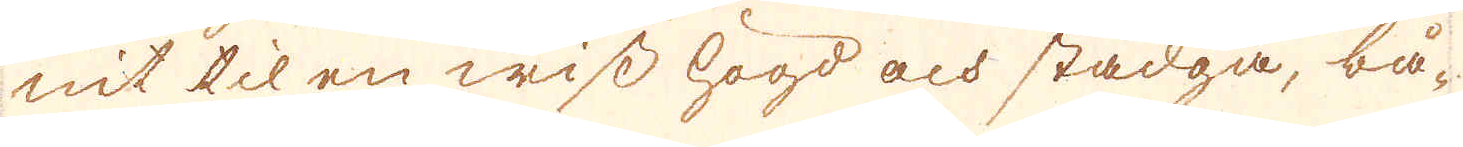nit til en wiss högd och stadga, bå-
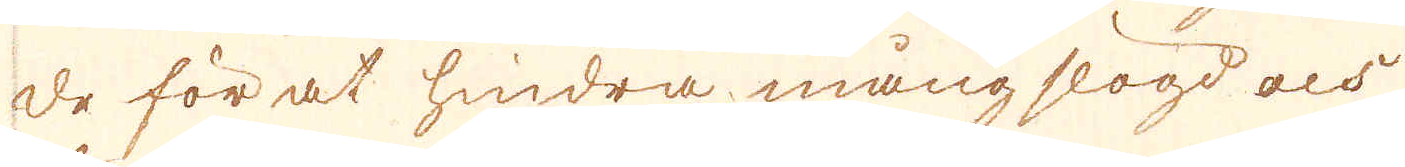de för at hindra mångslögd och
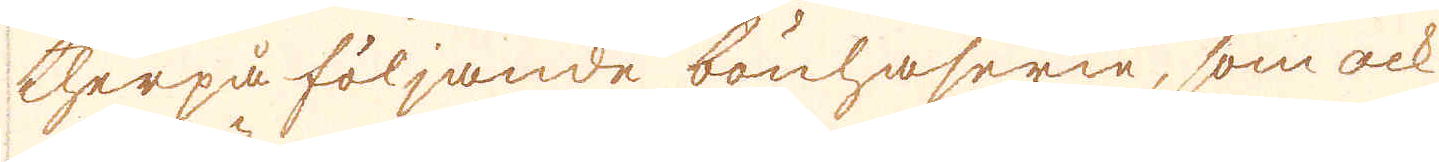therpå följande bönhaserie, som ock
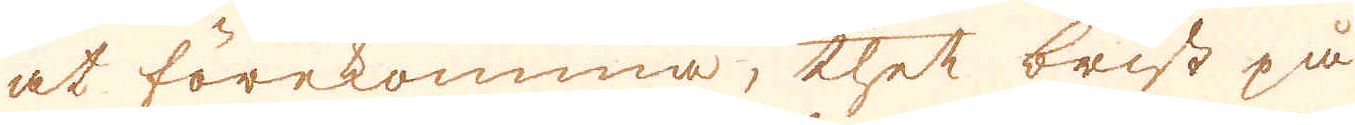at förekomma, thet brist på
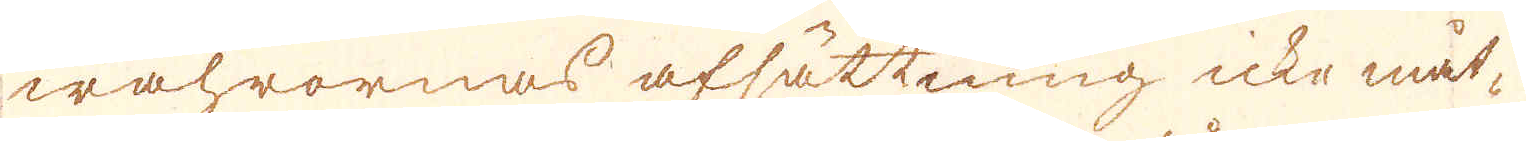wahrornas afsättning icke måt-
